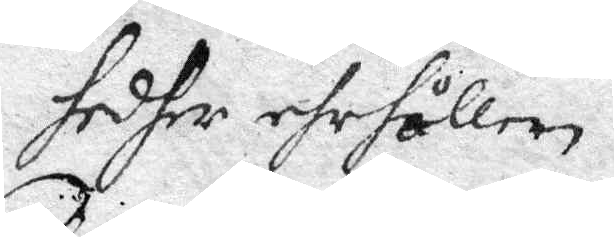hedher ehrhållen.
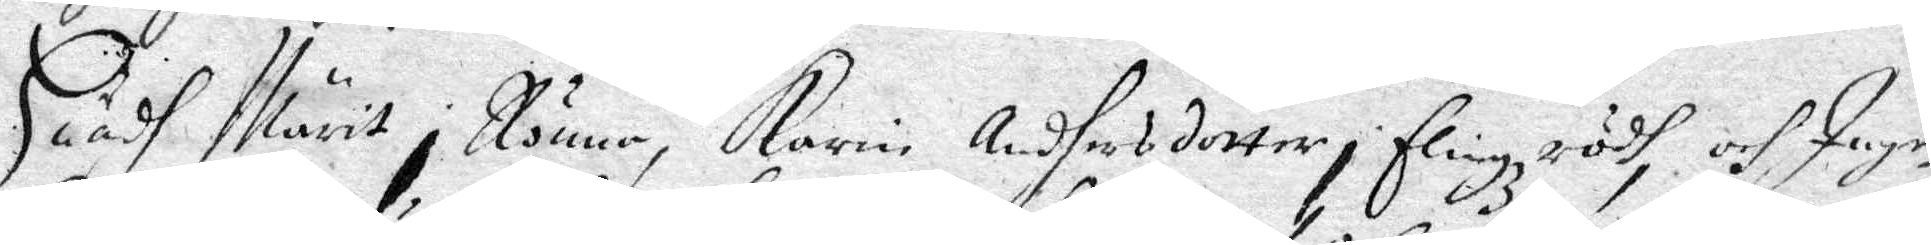Huadh Märit i Rönna, Karin Andhersdotter, Flingzrödh, och Inge¬
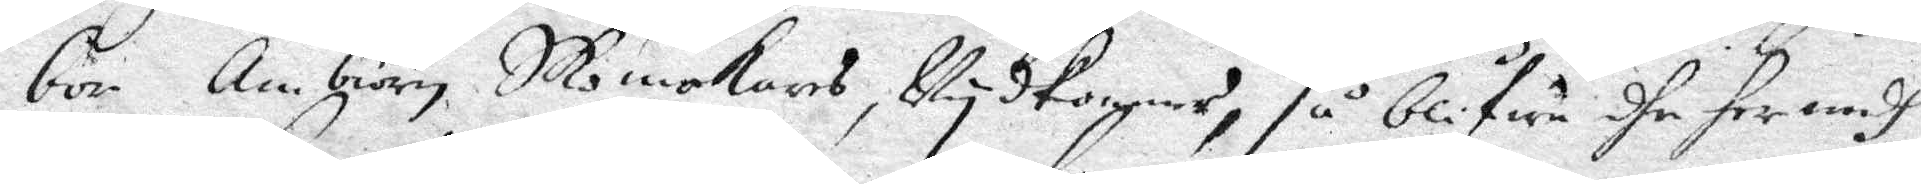bor Ambiörn Skomakares,Vydkomme, så blifwa dhe hermedh
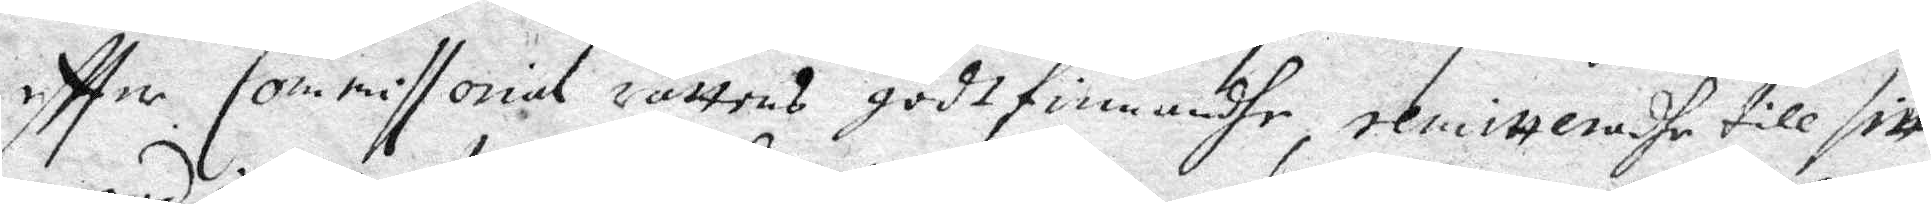eftter Commissorial rättens godfinnandhe, remitteradhe till sitt
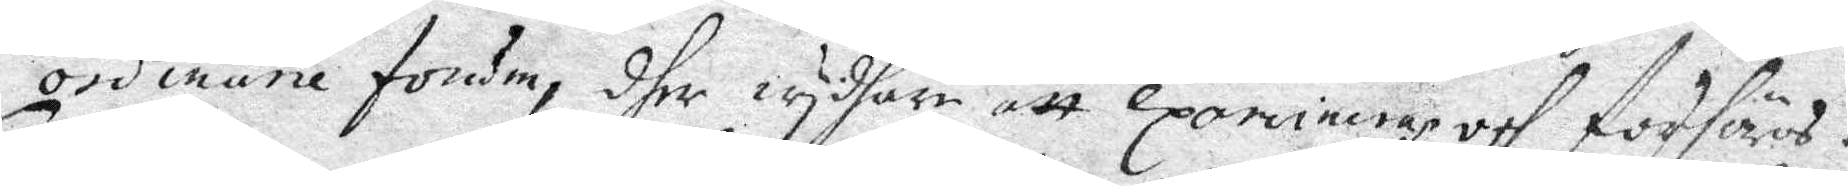ordinarie forum, dher wydhare att examineras och frhöras.
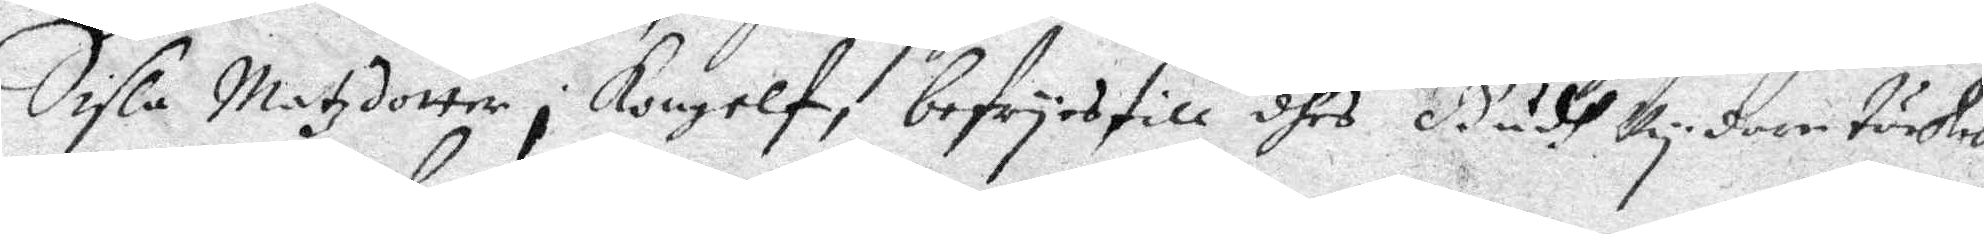Sisla Matzdotter i Kongelf, befruas till dhes Gudh vydare tächtes
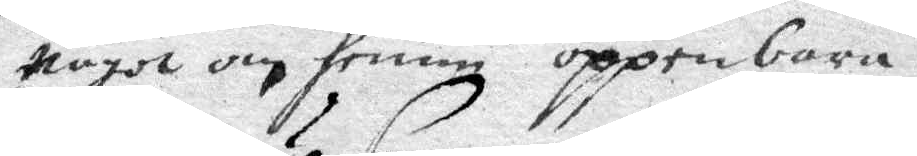något om henne oppenbara.
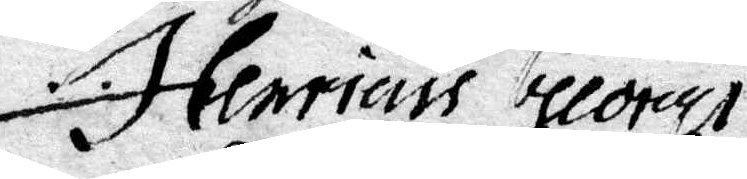Henricus Buoreus
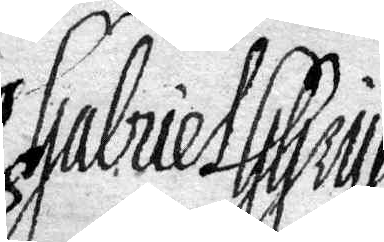Gabriel GGryp,
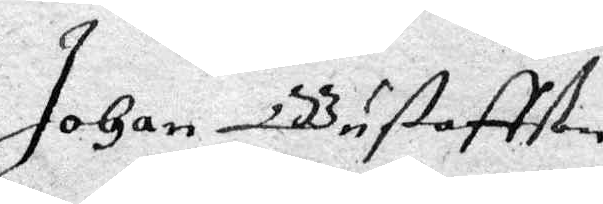Johan GGustaffson
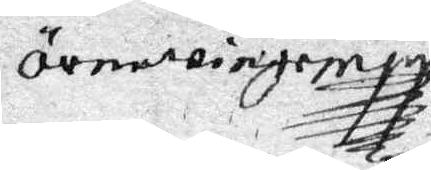örnewinge
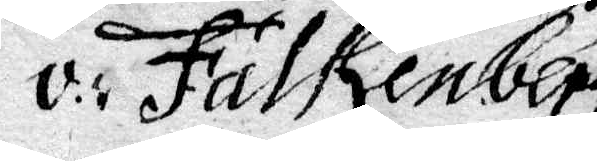v: Falkenbergh
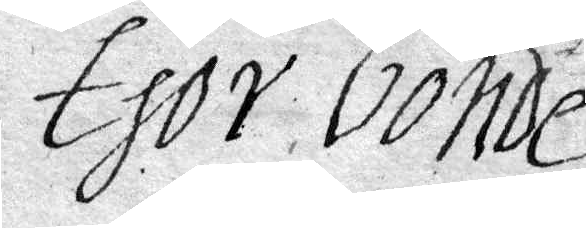Thor bonde
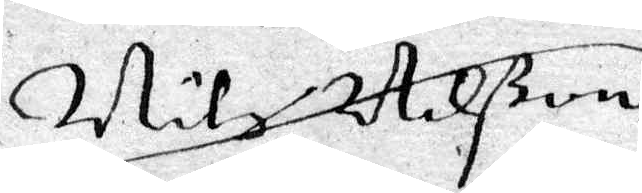Nils Nilßon
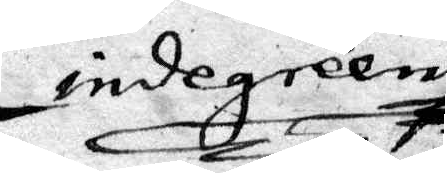Lindegreen
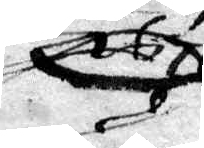1671
